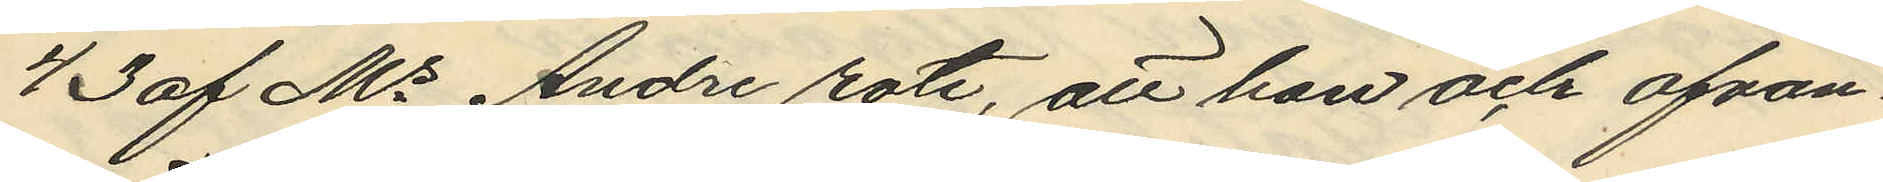43 af Ms Andre rote, att han och ofvan¬
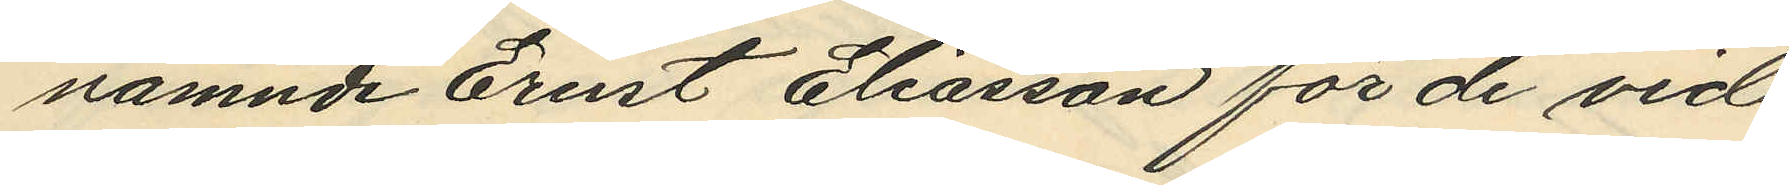nämnde Ernst Eliasson för de vid
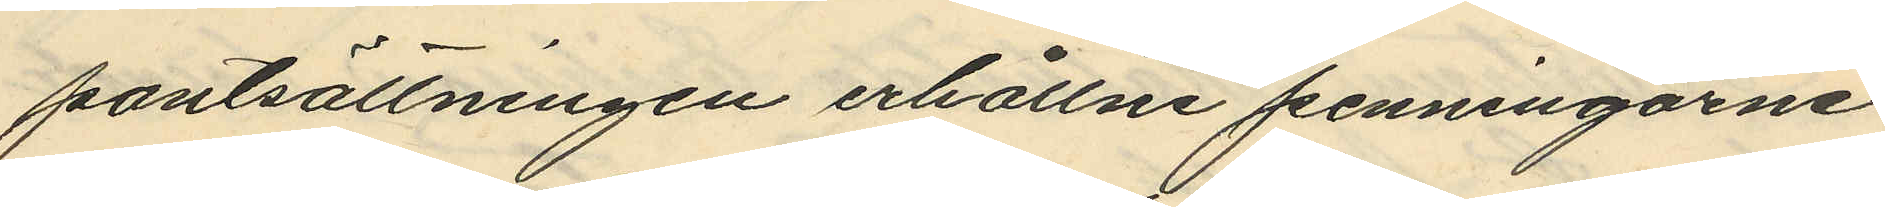pantsättningen erhållne penningarne
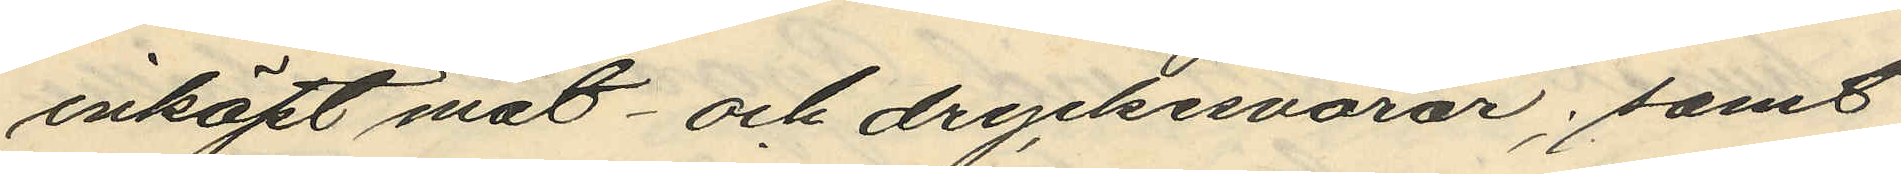inköpt mat- och dryckesvaror; samt
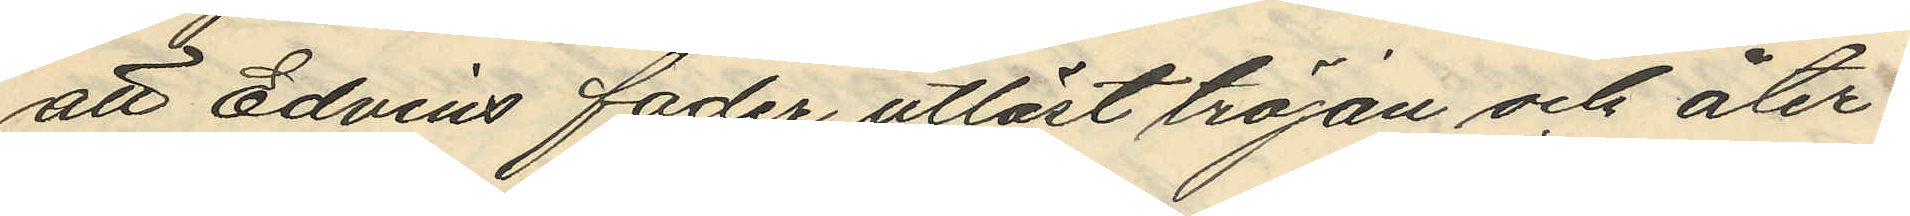att Edvins fader utlöst tröjan och åter¬
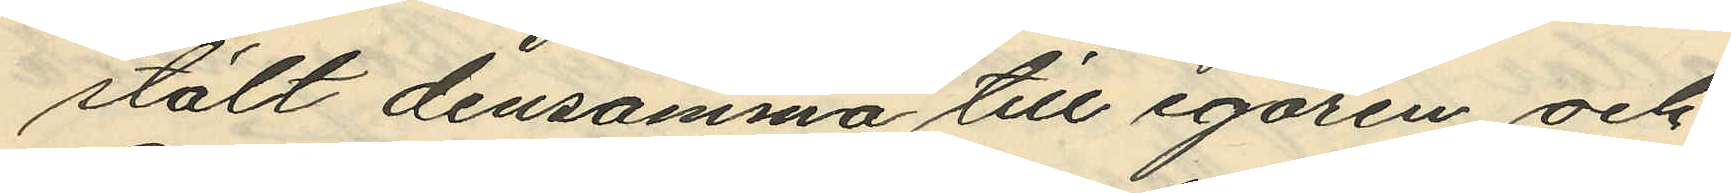stält densamma till egaren; och
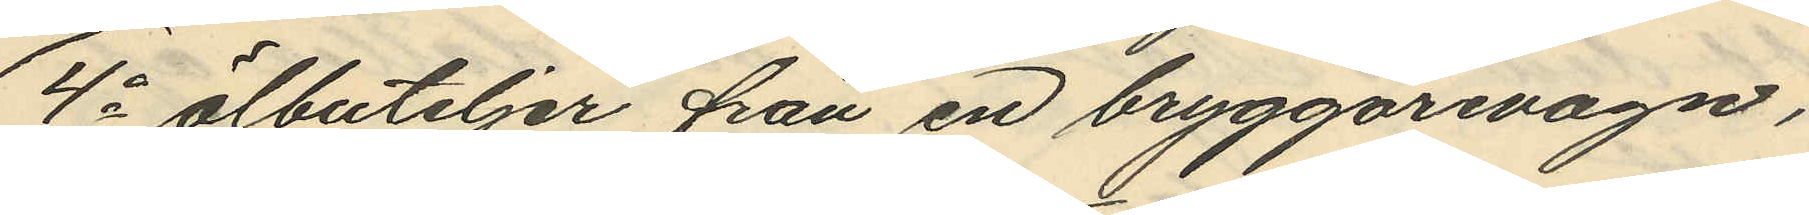4o ölbuteljer från en bryggarevagn,
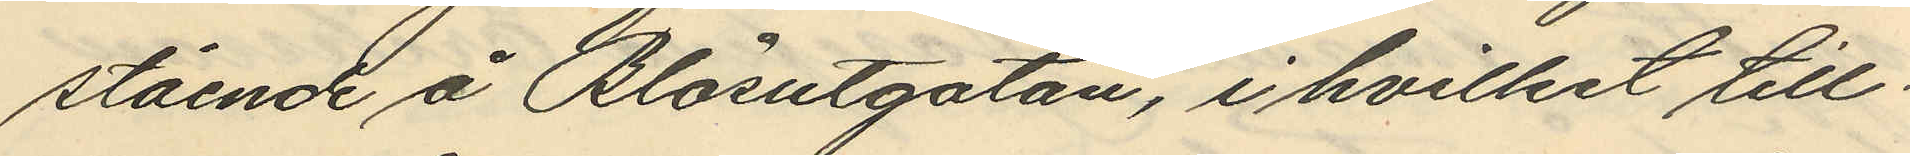stående å Blåsutgatan, i hvilket till¬
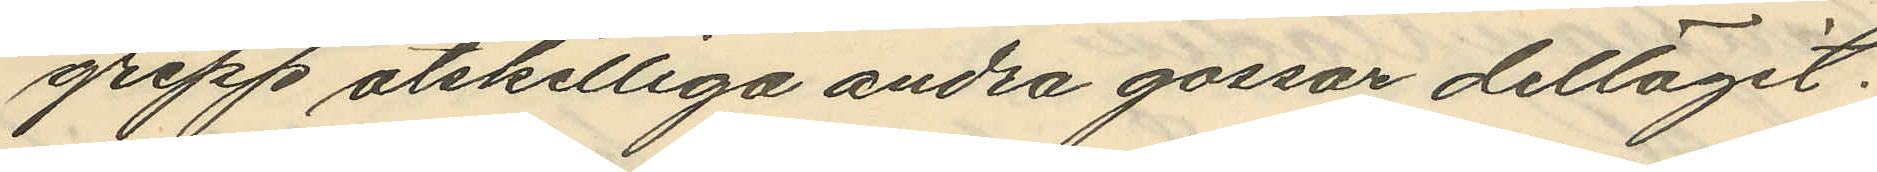grepp åtskilliga andra gossar deltagit.
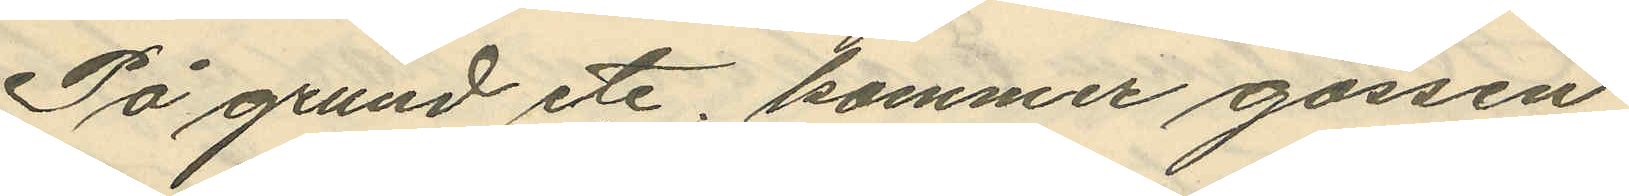På grund etc. kommer gossen
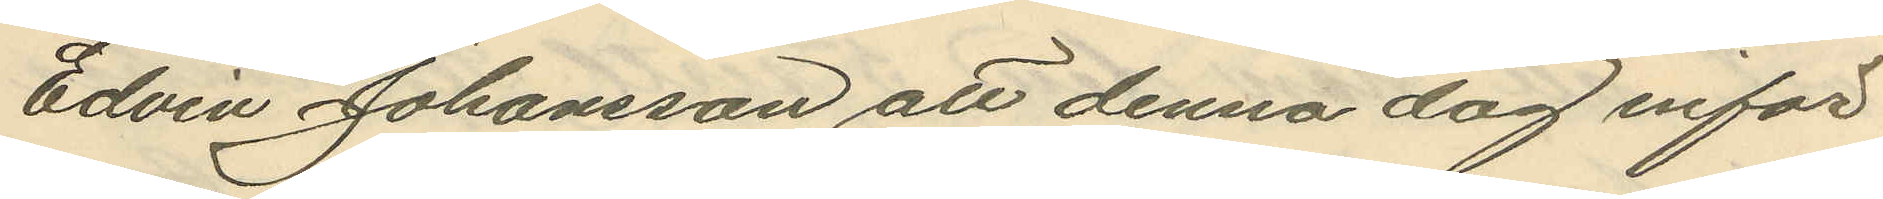Edvin Johansson att denna dag inför
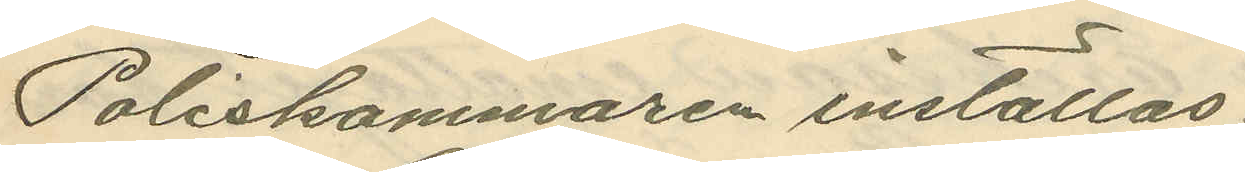Poliskammaren inställas.
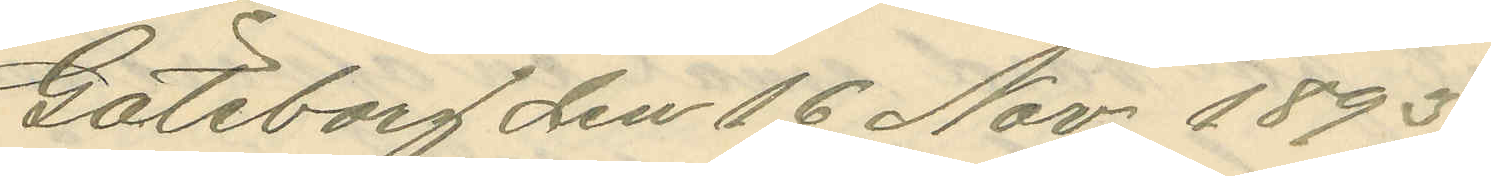Göteborg den 16 Nov. 1893.
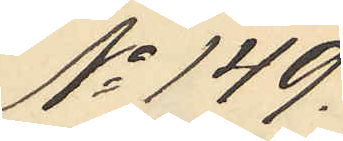No 149.
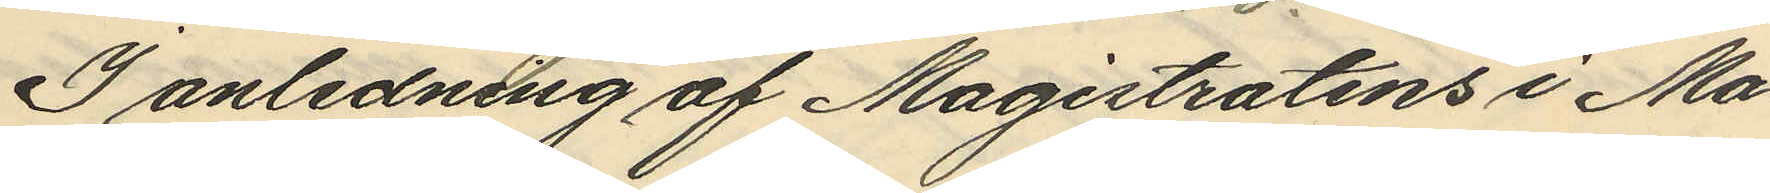I anledning af Magistratens i Ma¬
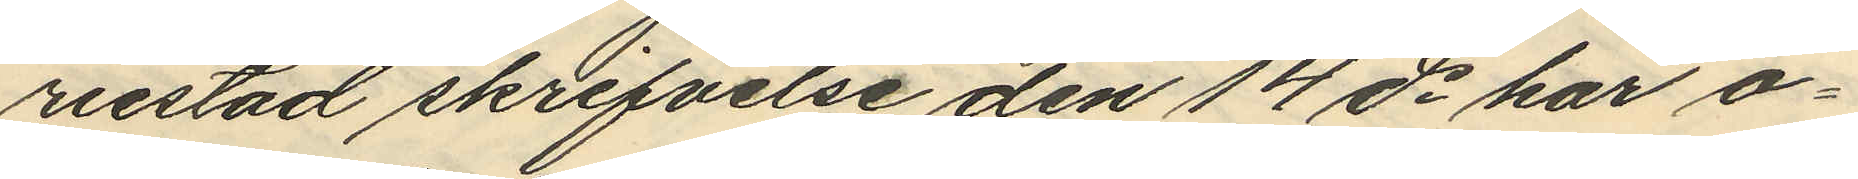riestad skrifvelse den 14 ds har o¬
